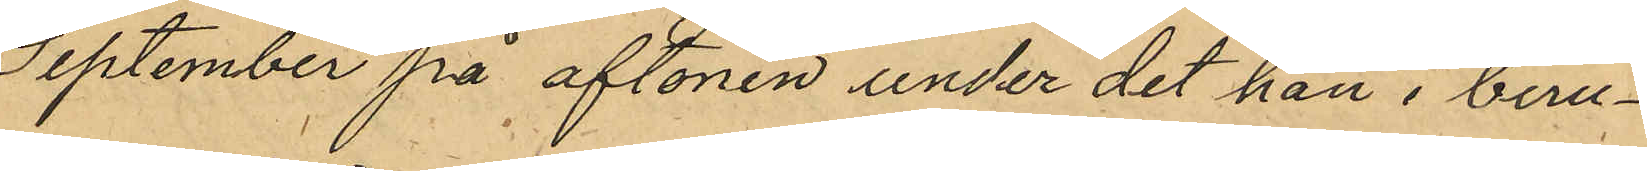September på aftonen under det han i beru¬
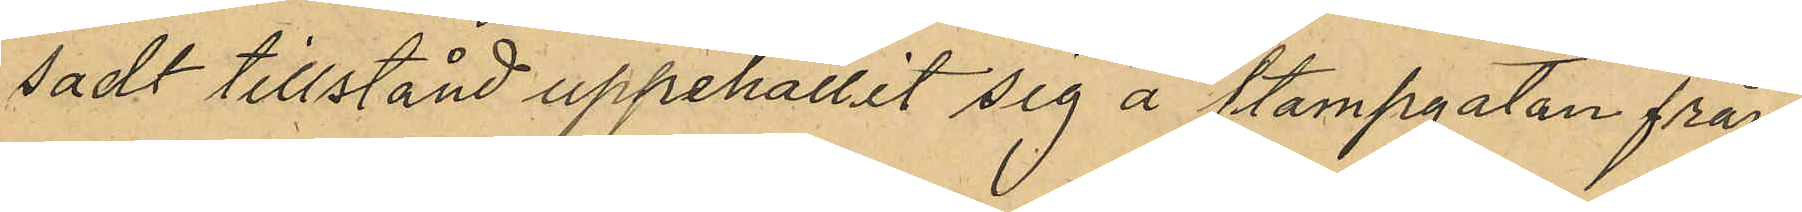sadt tillstånd uppehållit sig å Stampgatan från
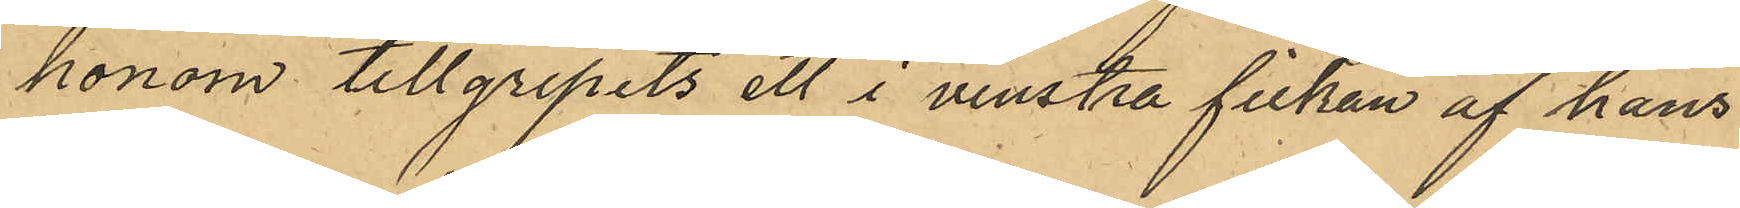honom tillgripits ett i venstra fickan af hans
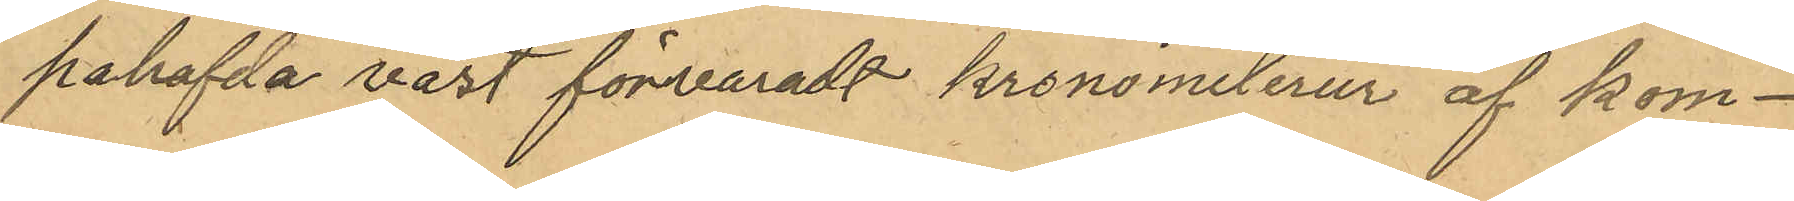påhafvda väst förvaradt kronometerur af kom¬
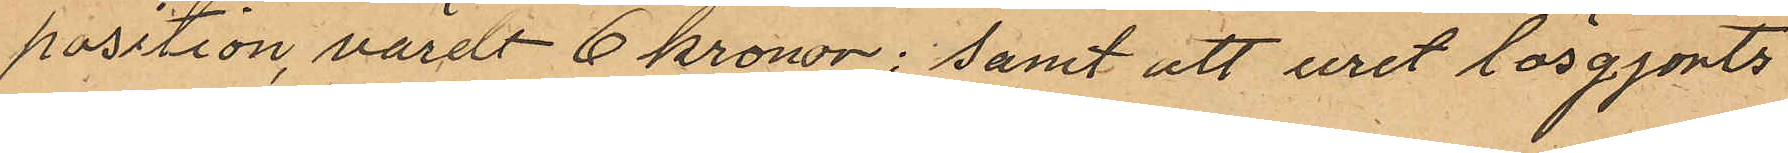position, värdt 6 kronor; samt att uret lösgjorts
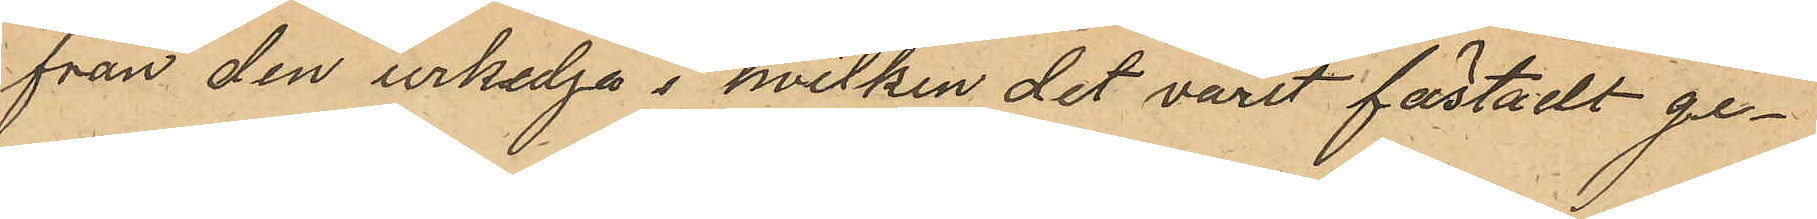från den urkedja i hvilken det varit fästadt ge¬
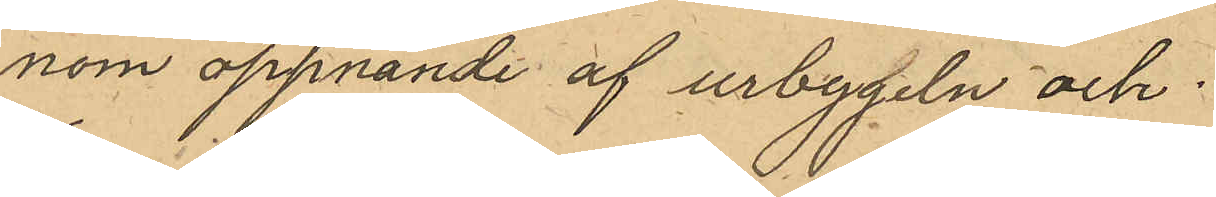nom öppnande af urbygeln och
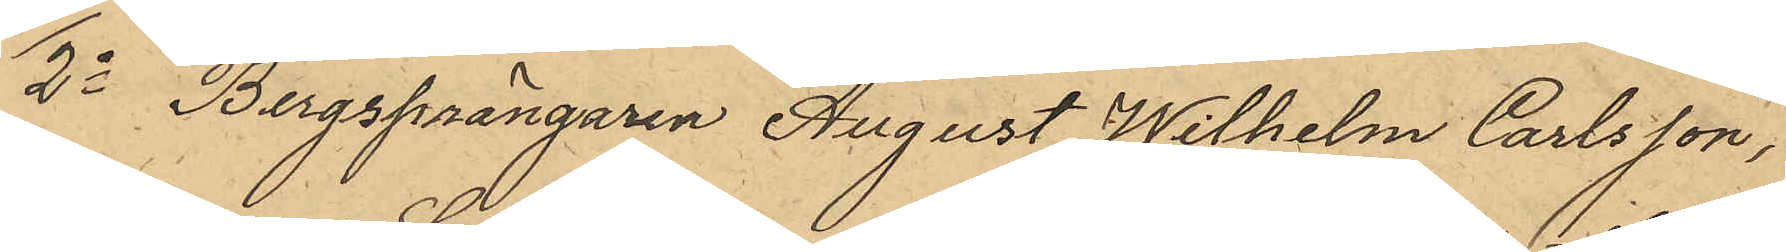2o Bergsprängaren August Wilhelm Carlsson,
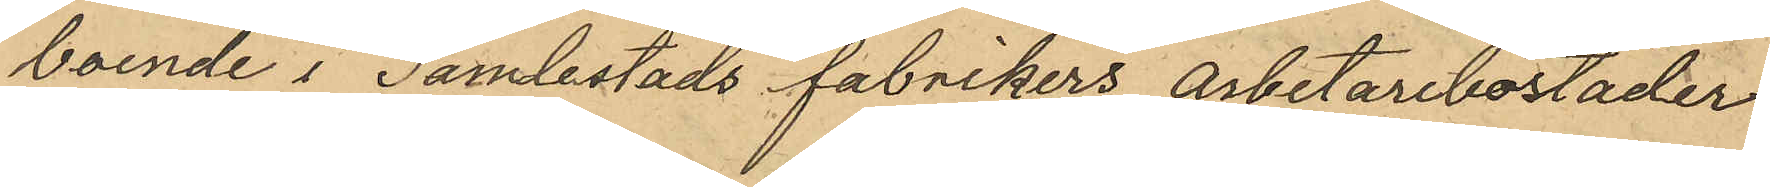boende i Gamlestads fabrikers arbetarebostäder,
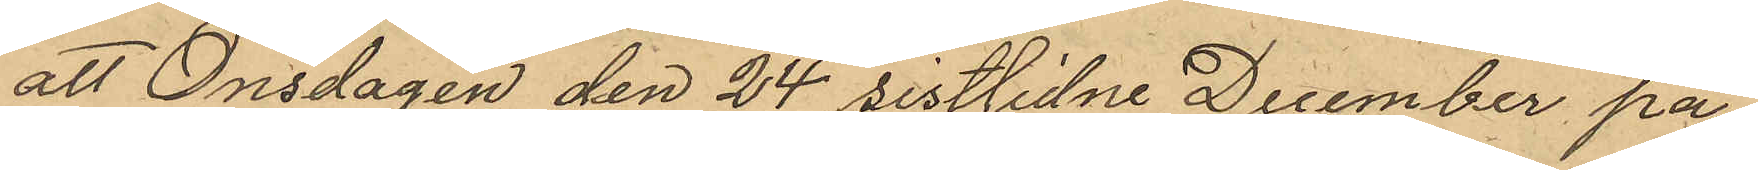att Onsdagen den 24 sistlidne December på
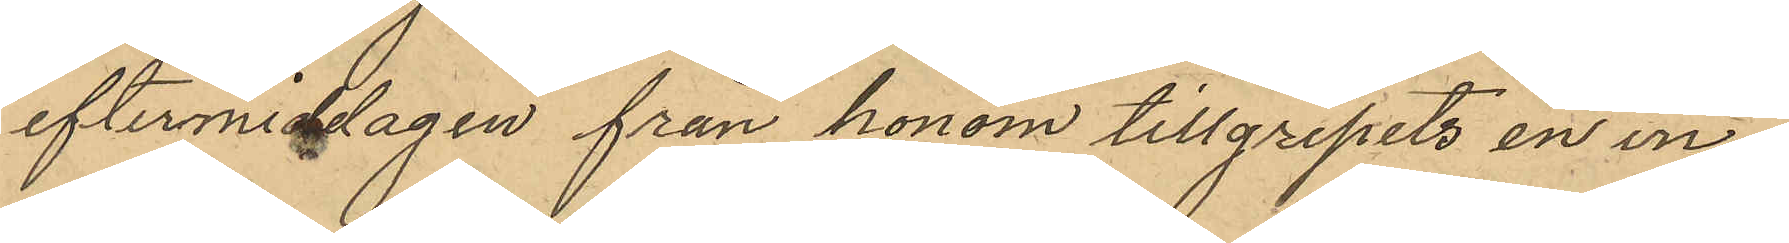eftermiddagen från honom tillgripits en in¬
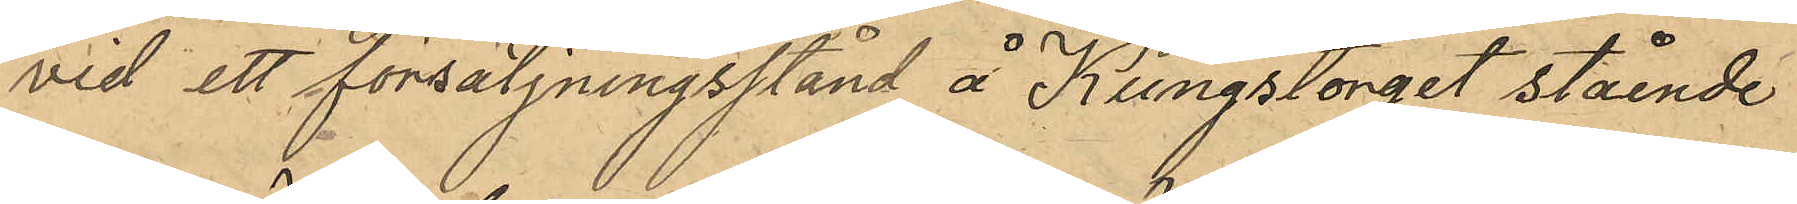vid ett försäljningsstånd å Kungstorget stående
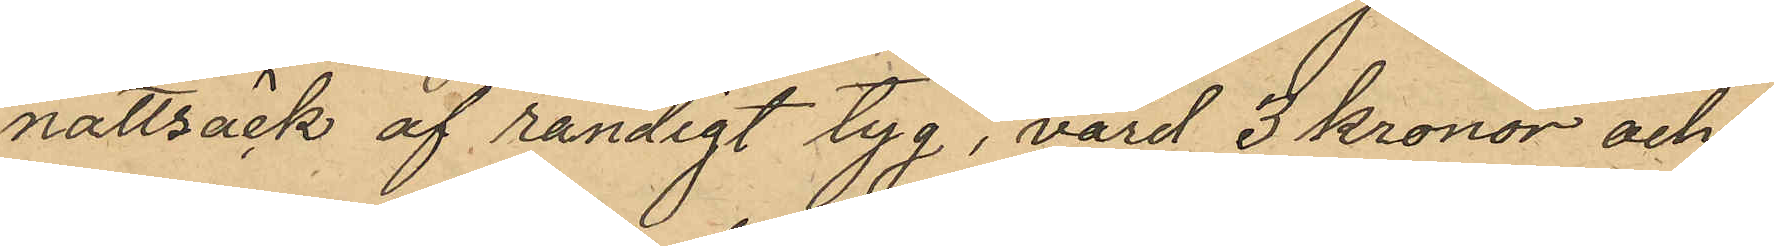nattsäck af randigt tyg, värd 3 kronor och
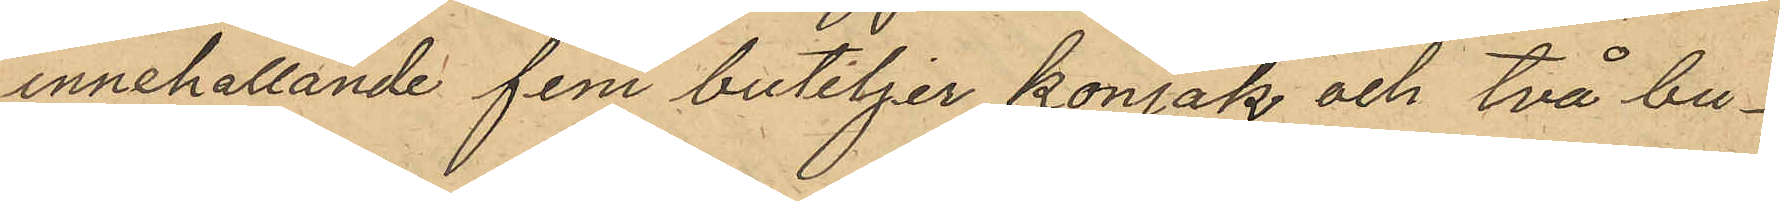innehållande fem buteljer konjak och två bu¬
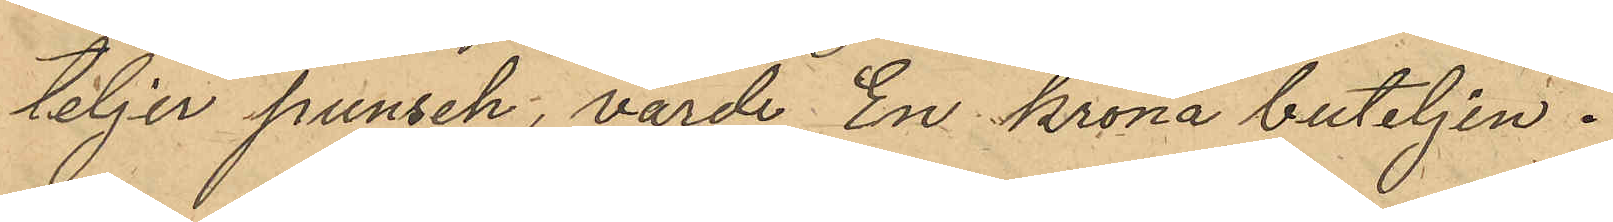teljer punsch, värde En krona buteljen.
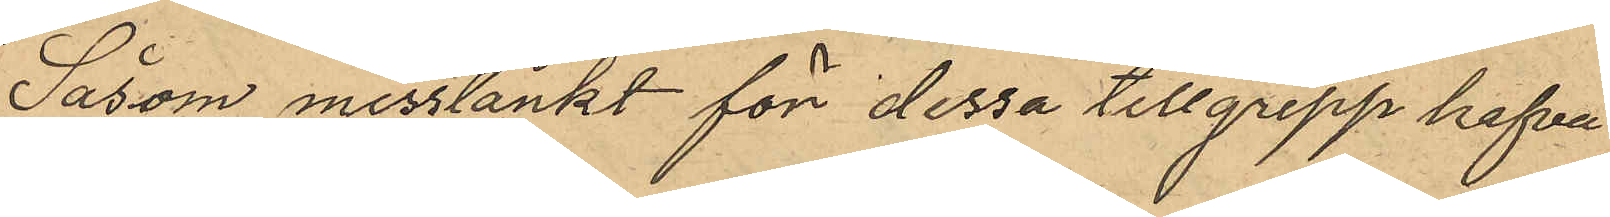Såsom misstänkt för dessa tillgrepp hafva
